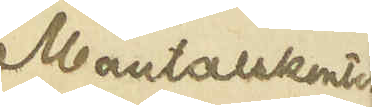Mantalskontor
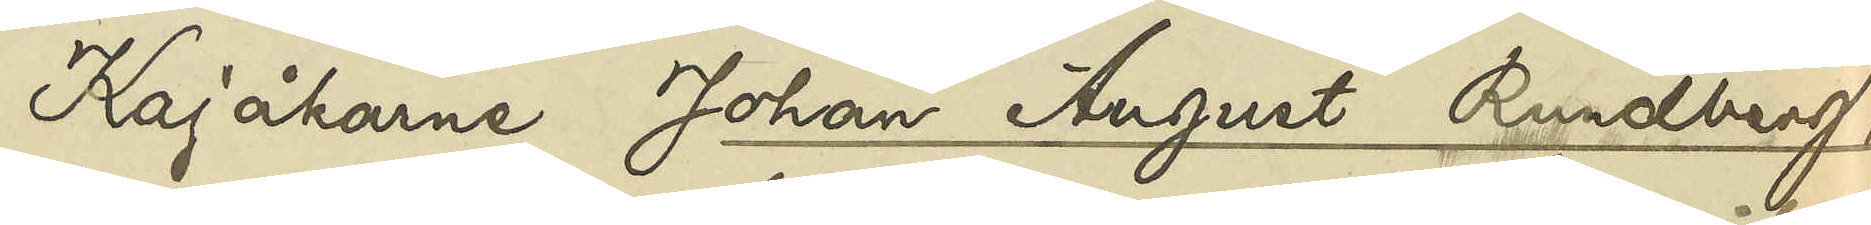Kajåkarne Johan August Rundberg,
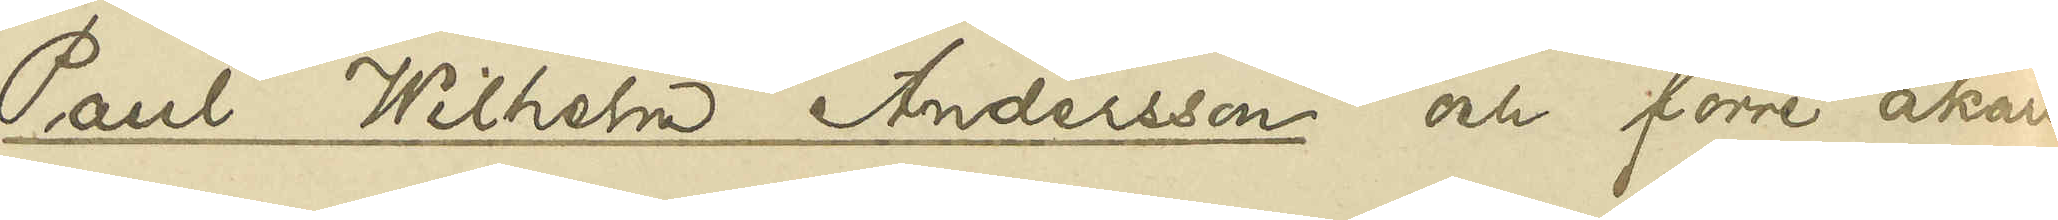Paul Wilhelm Andersson och förre åkaren
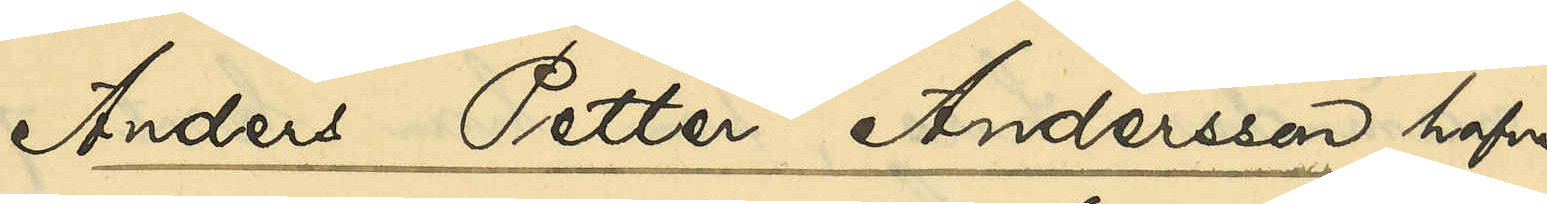Anders Petter Andersson hafva
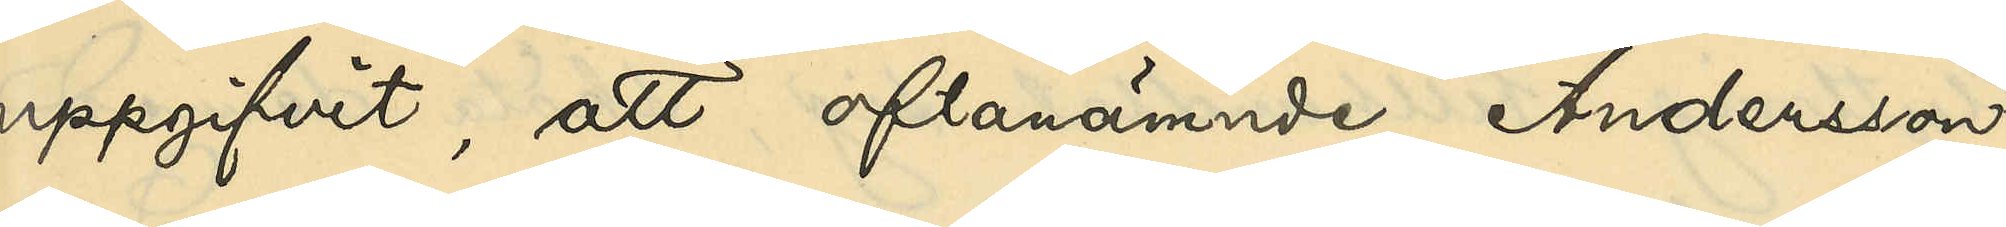uppgifvit, att oftanämnde Andersson
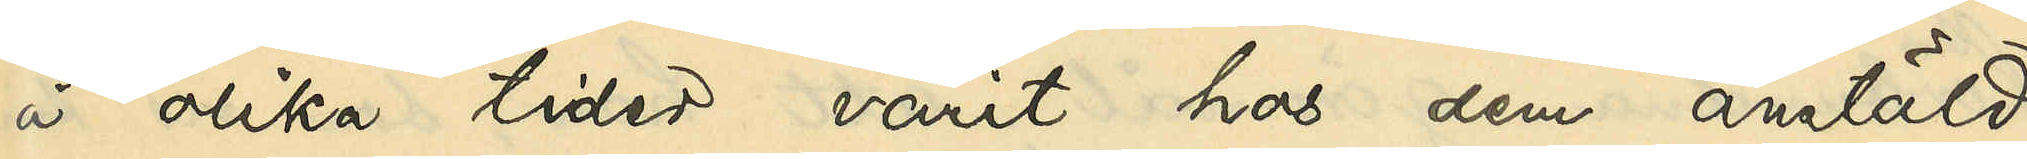å olika tider varit hos dem anstäld
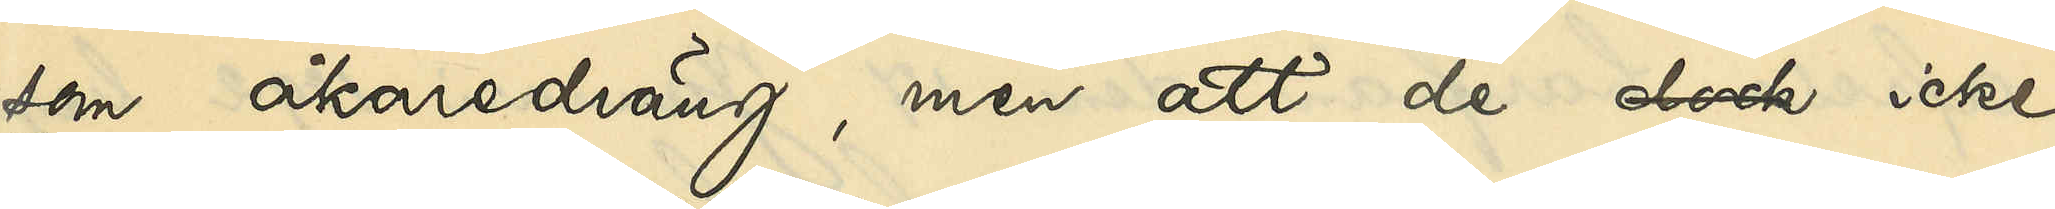som åkaredräng, men att de dock icke
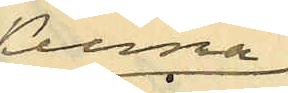kunna
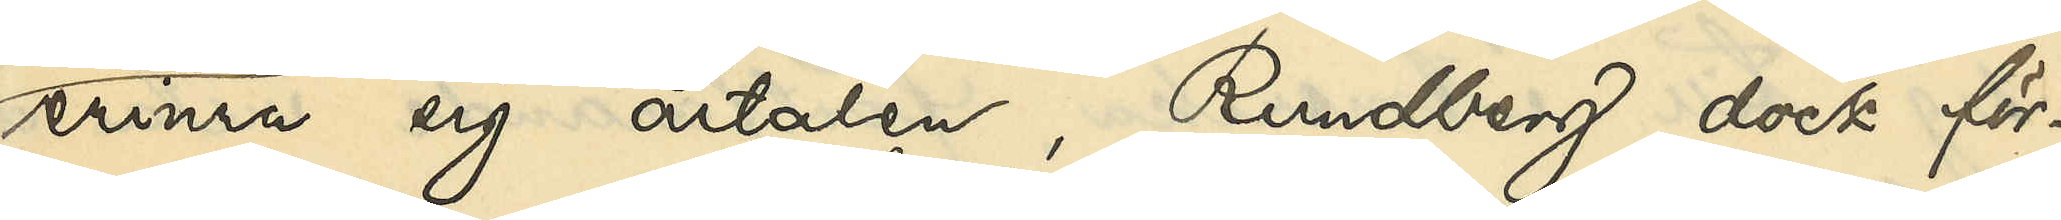erinra sig årtalen, Rundberg dock för¬
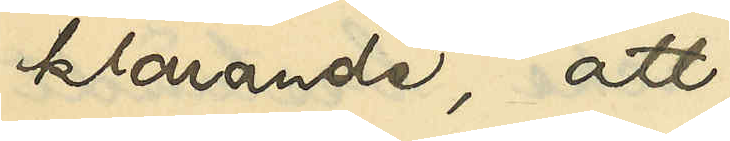klarande, att 
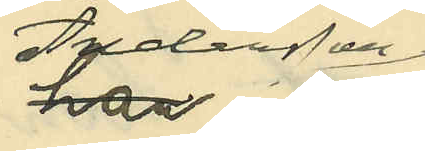Andersson
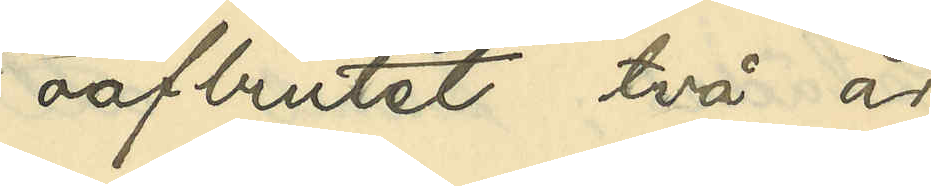oafbrutet två år
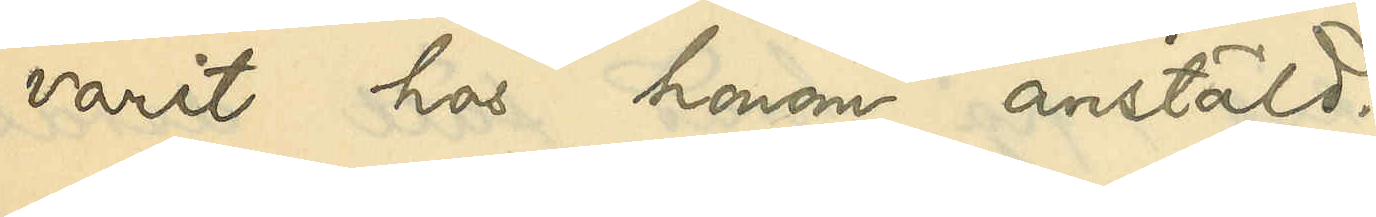varit hos honom anstäld.
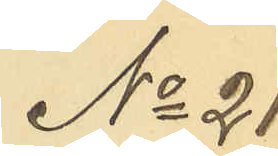No 21
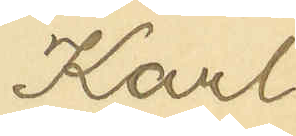Karl
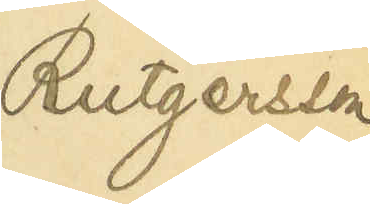Rutgersson
